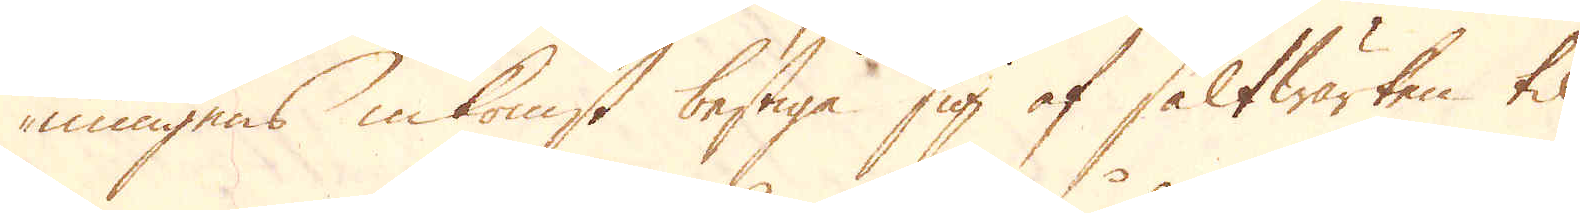nungens inkomst bestiga sig af saltwärken til
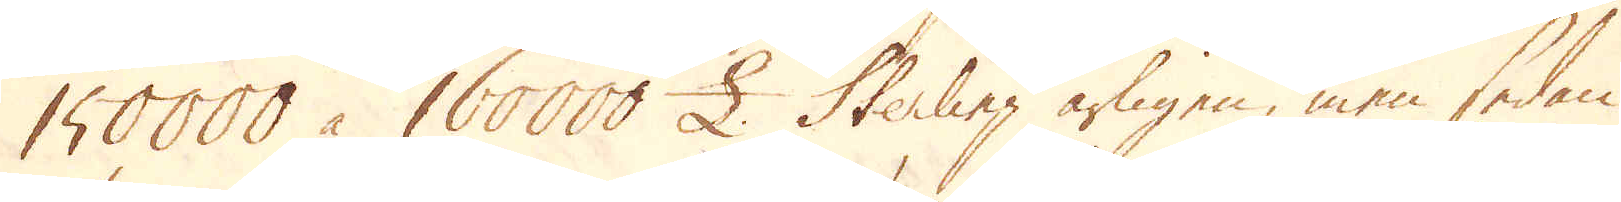150000 à 160000 £. Sterling årligen, men sedan
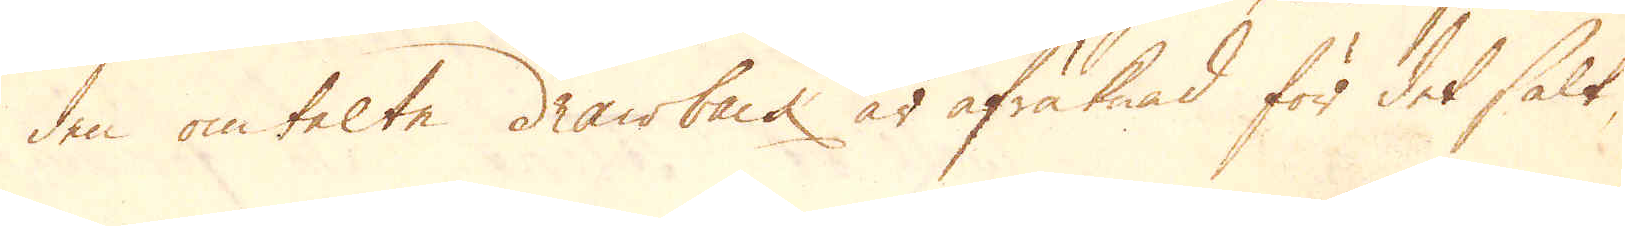den omtalte drawback är afräknad för det salt,
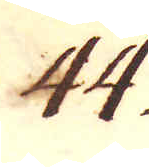44.
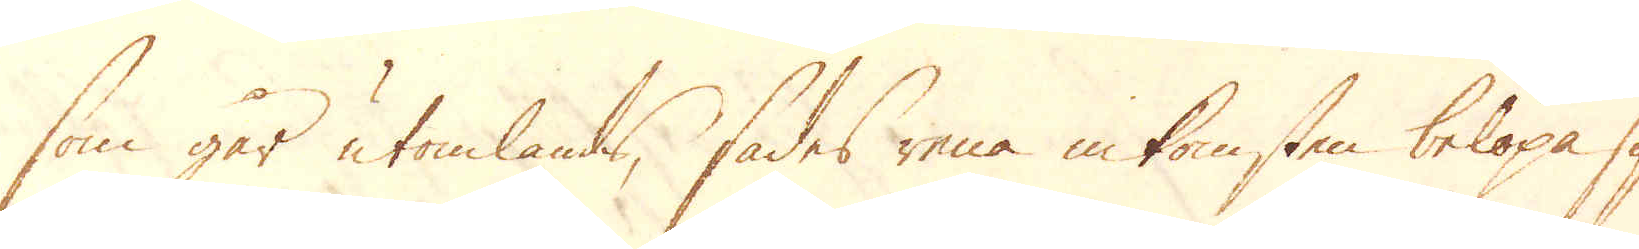som går utomlands, sades rena inkomsten belöpa sig
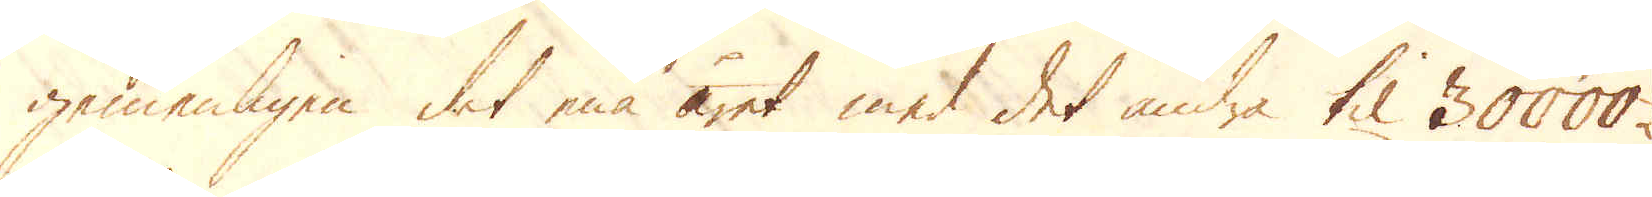gemenligen det ena året med det andra til 30000
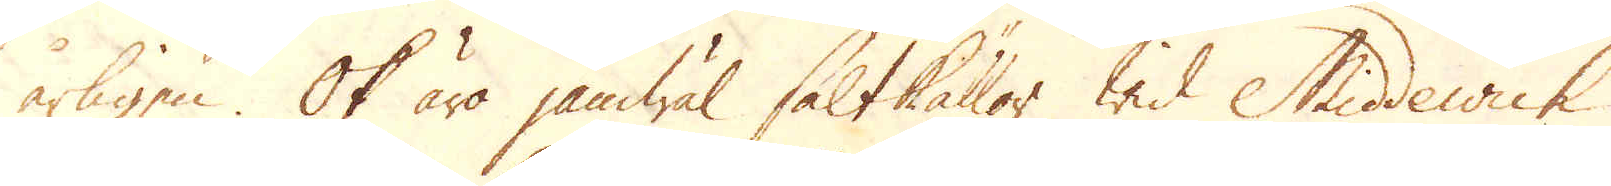årligen. Ok äro jämwäl saltkällor wid Middewich
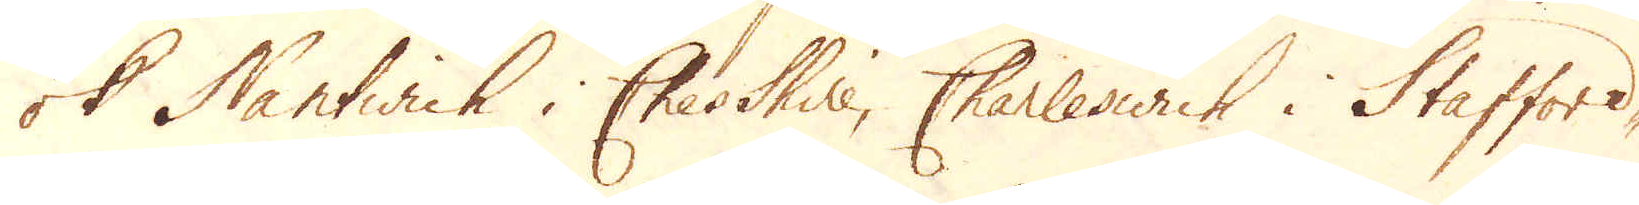ok Nantwich i Cheshire, Charleswich i Stafford-
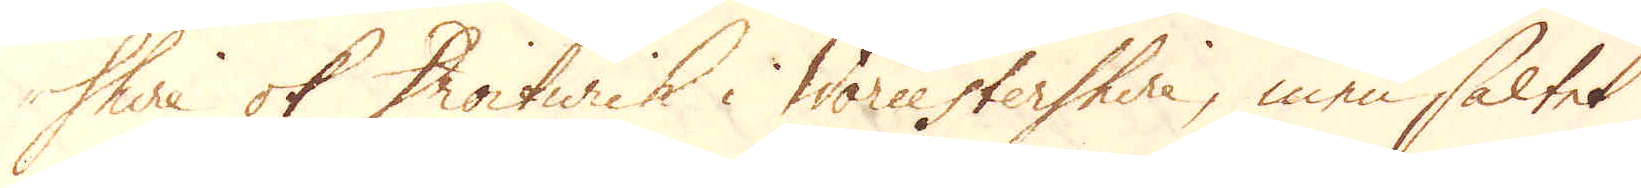shire ok Droitwich i Worcestershire, men saltet
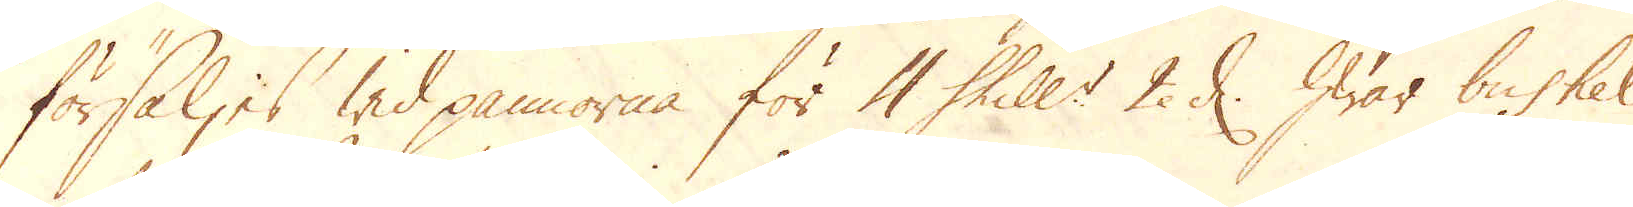försäljes wid pannorna för 4 Shill:r 2 d: hwar bushel
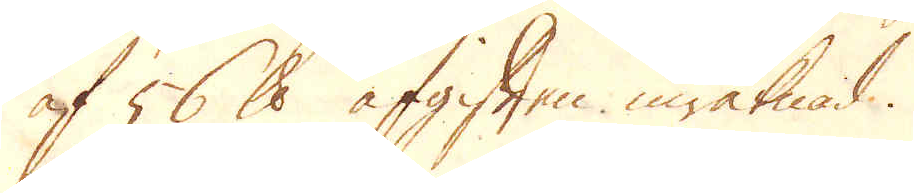af 56 skålpund afgiften inräknad.
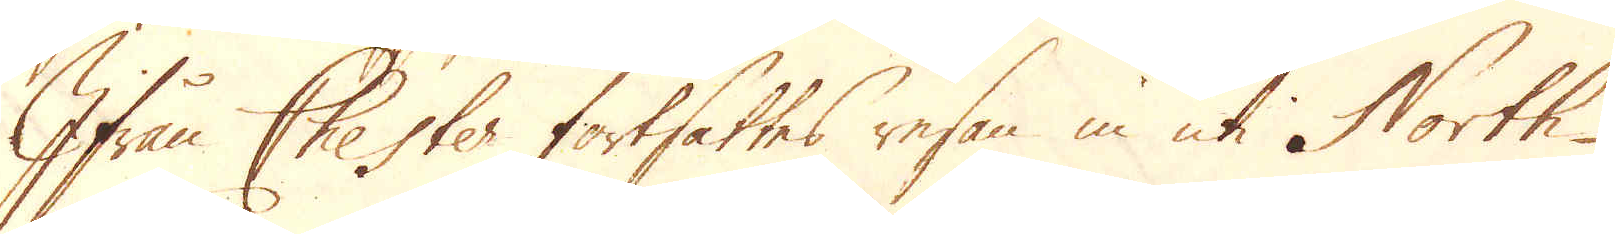Ifrån Chester fortsattes resan in uti North-
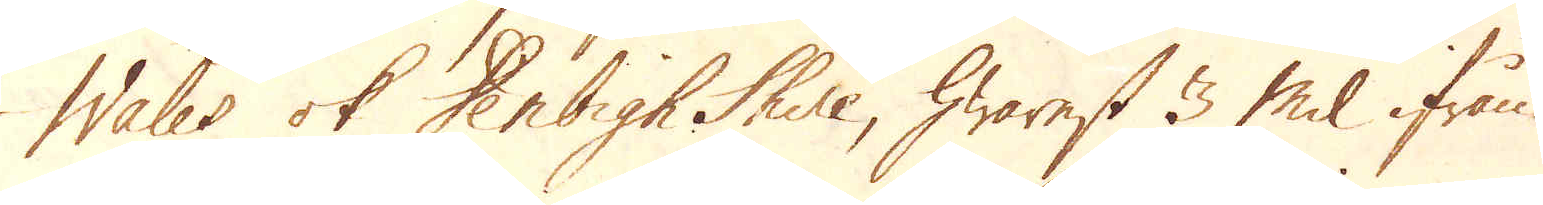Wales ok Derbigh Shire, hwarest 3 Mil ifrån
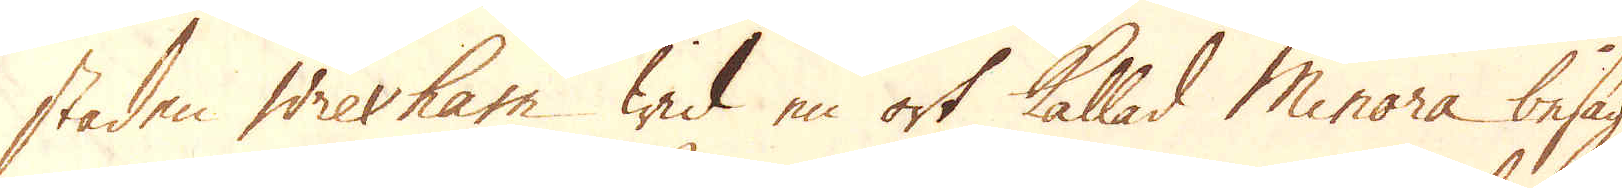staden Wrexham wid en ort kallad Minora besågs
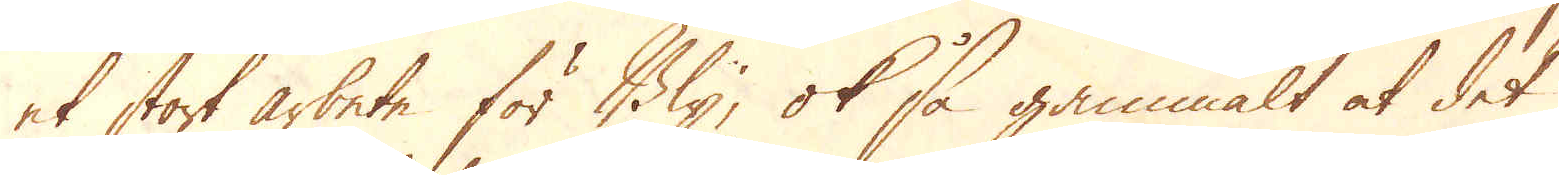et stort arbete för Bly; ok så gammalt at det
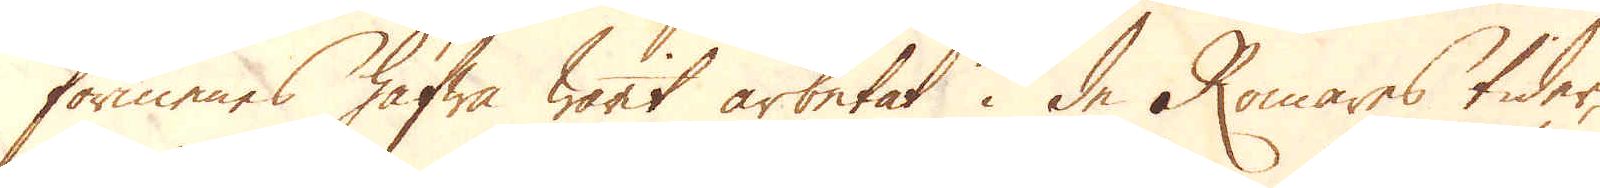förmenas hafwa warit arbetat i de Romares tider,
